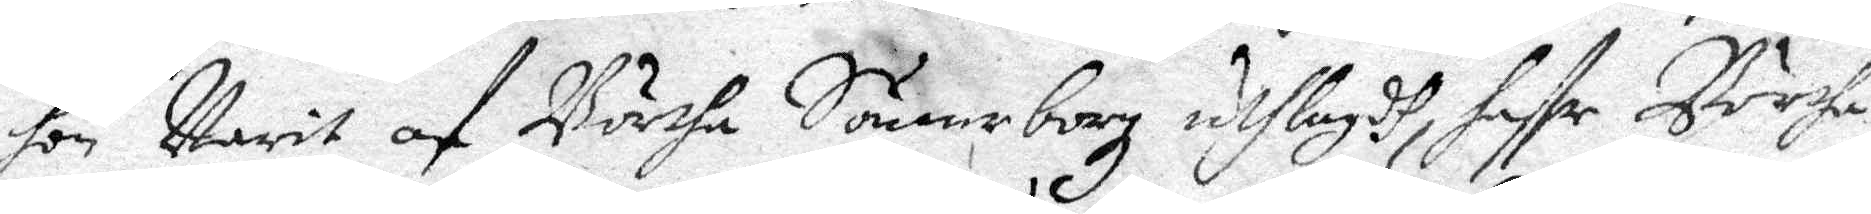hon Warit af Börtha Sönneborg uthlagdh, haffr Börtha
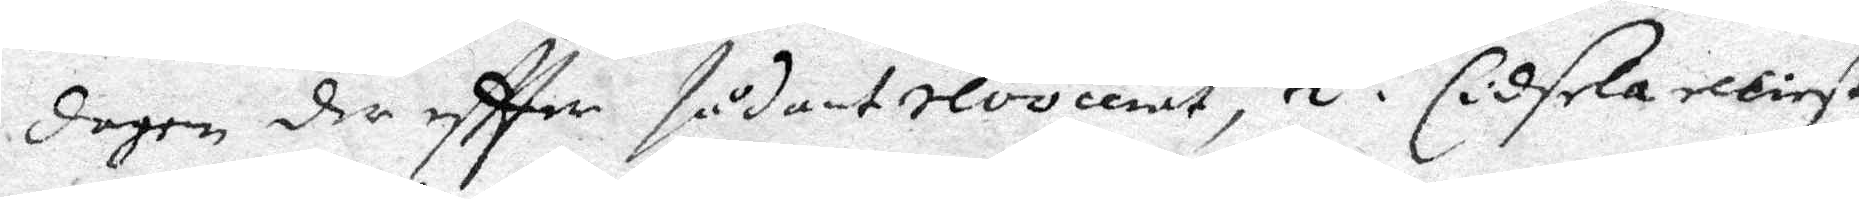dagen der effter sådant revocerat, 2. Cidsela elliest
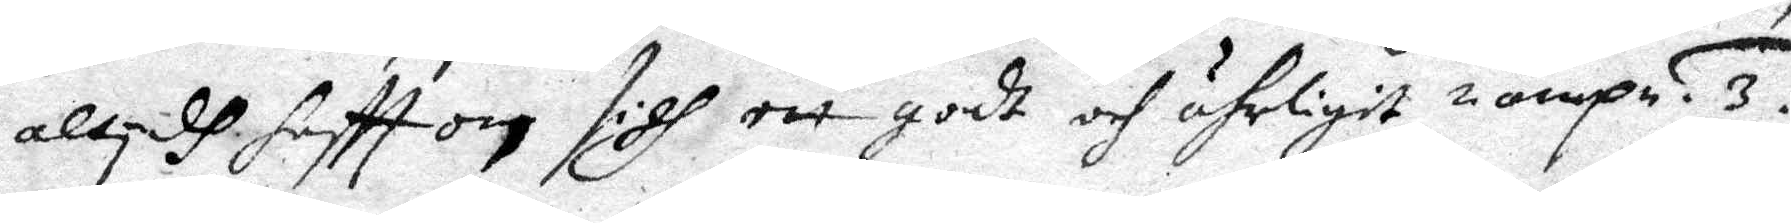altyidh hafft och sigh ett godt och ährligit namp. 3. 
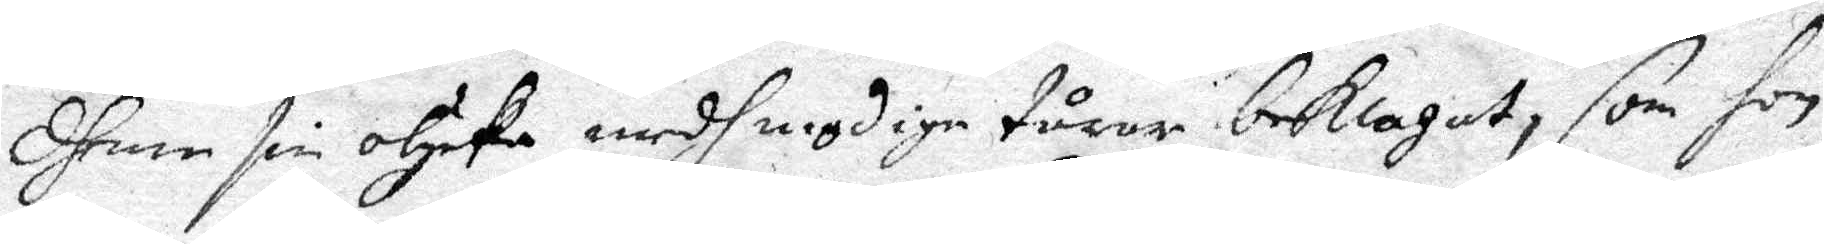Dhenne sin olycka medh mydige tårar beklagat, som hon
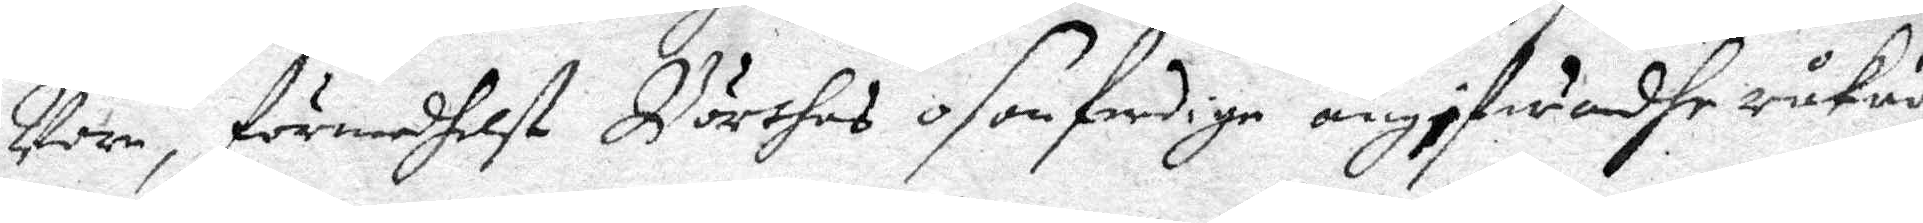Vore förmedhelst Börthas osanferdige angifwadhe råkad
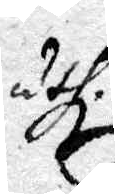uthi.
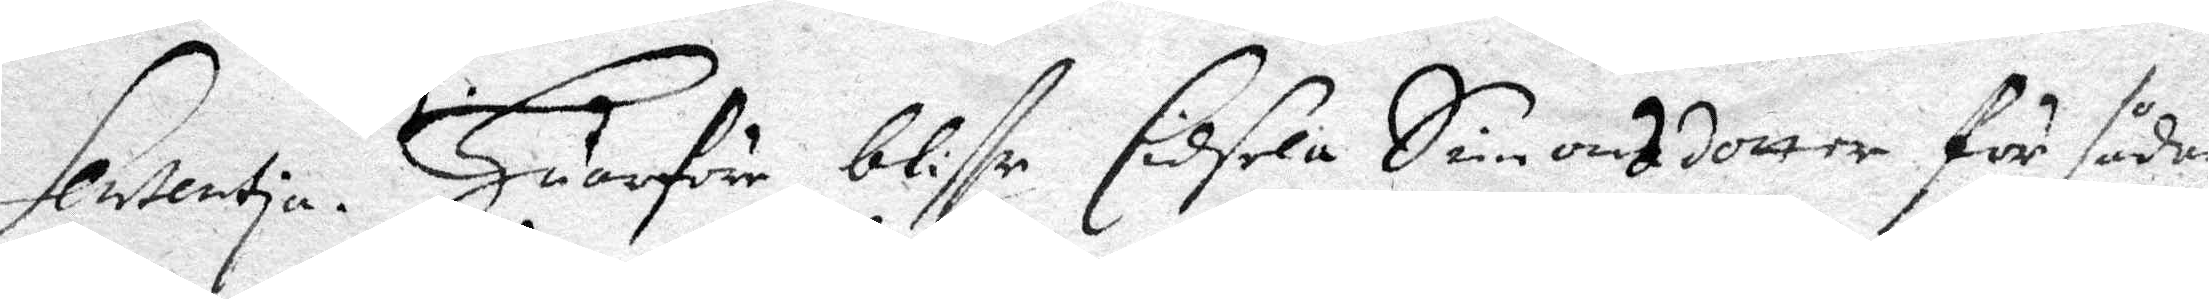Sentetia. Huarföre bliffr Cidsela Simonsdotter för sådan
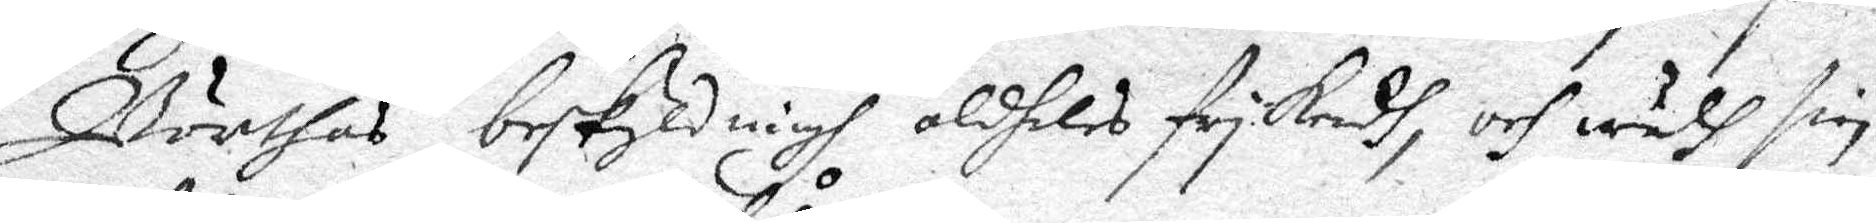Börthas beskyldningh aldheles frykendh, och wedh sin
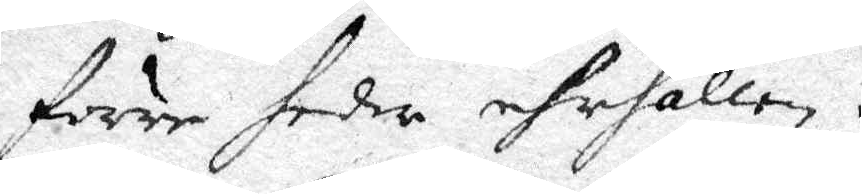förre heder ehrhållen.
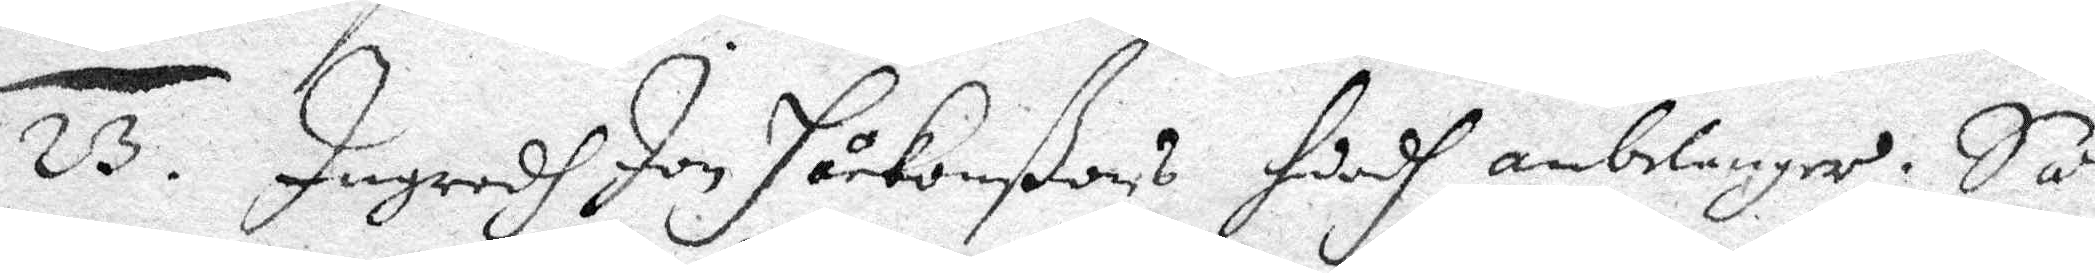23. Ingredh Jon Håckonßons huadh anbelanger; Så
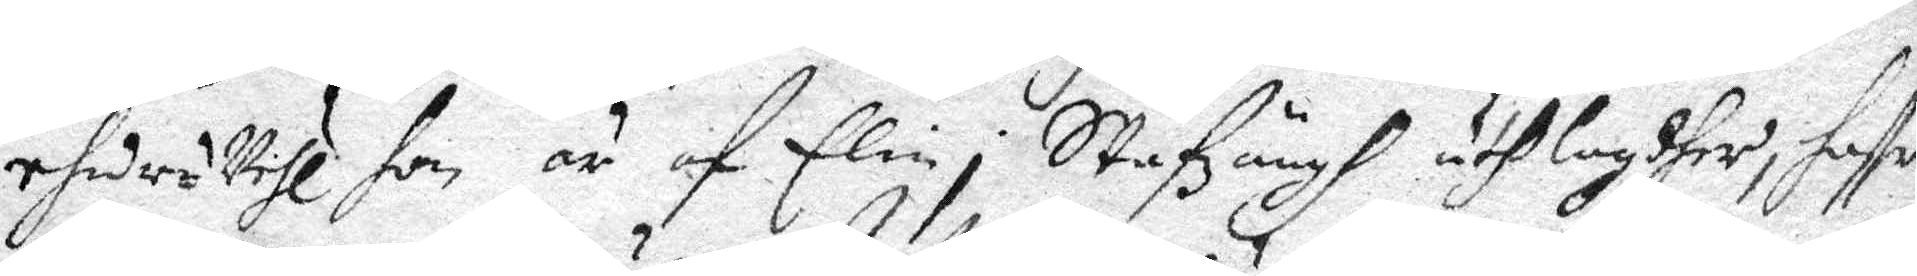ehuruwähl hon är af Elin i Stafzängh uthlagdher, haffr
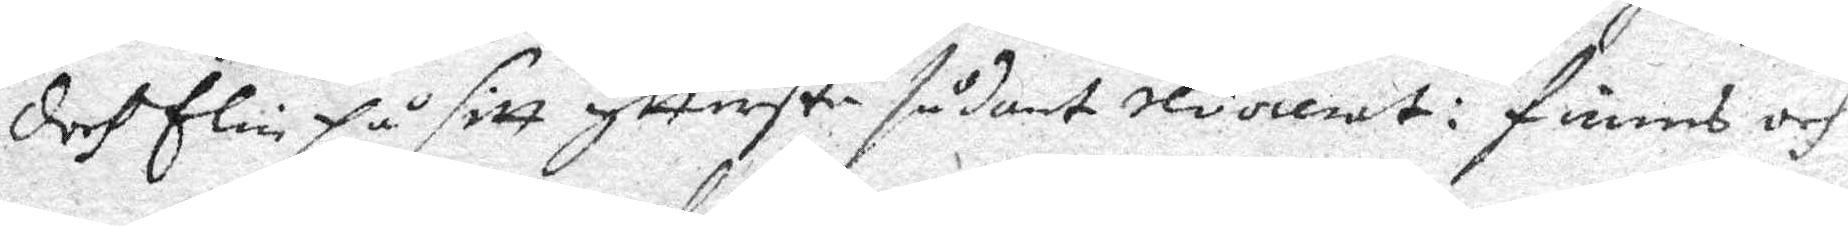doch Elin på sitt yttersta sådant revocerat: finns och
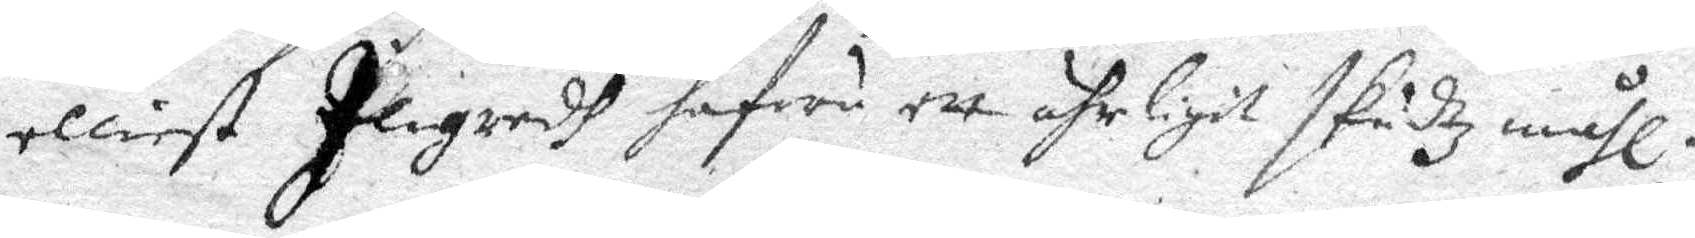elliest Ingred hafwa ett ährligit skudz måhl.
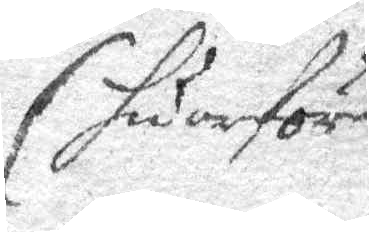huarföre
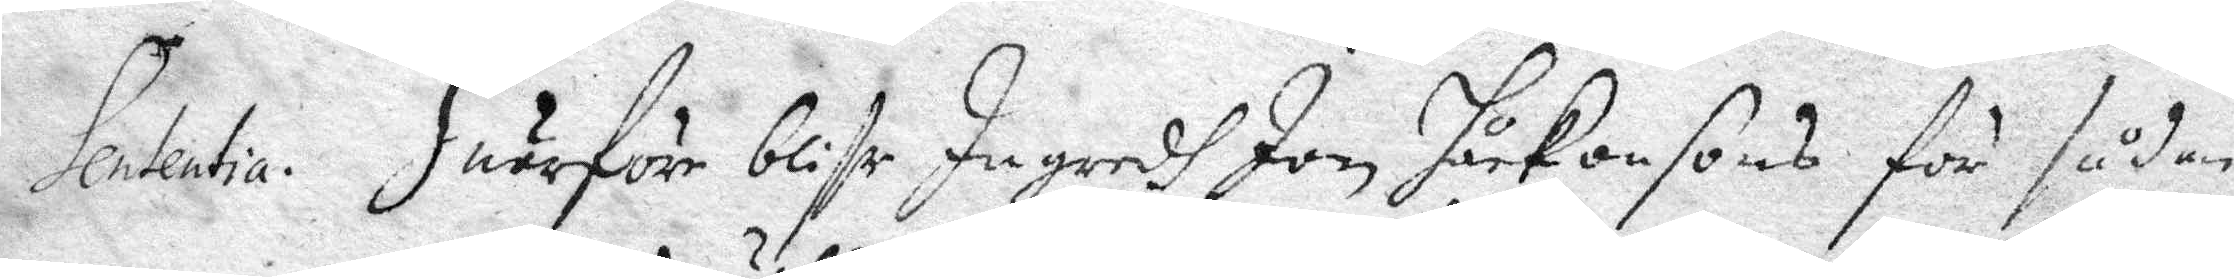Sententia. Huarföre bliffr Ingredh Jon Håkansons för sådan
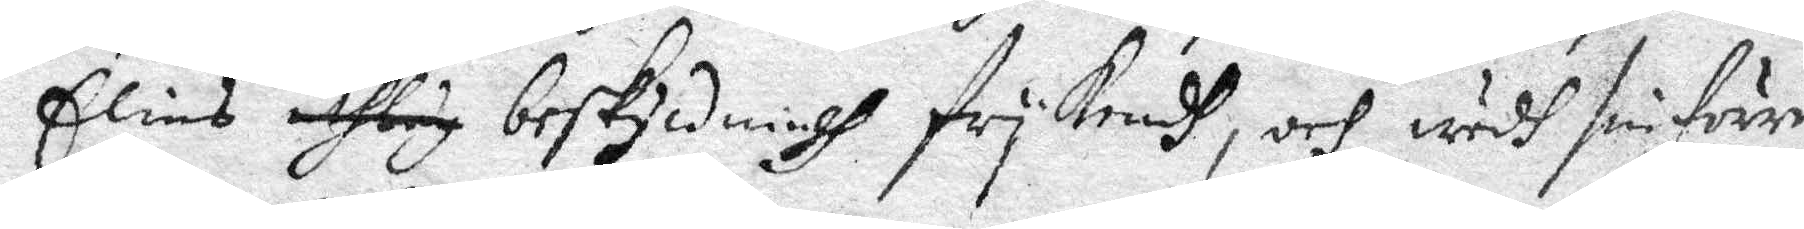Elins uthlagdh beskyldningh frykendh, och sin förre
